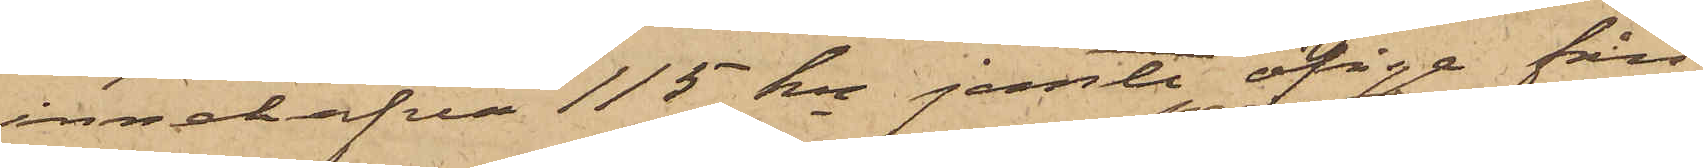innehafva 115 kr jemte öfrige från
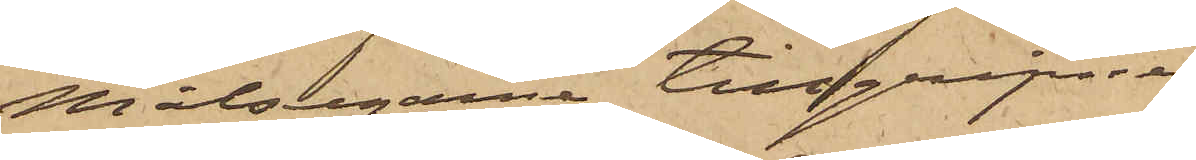Målsegarne tillgripne
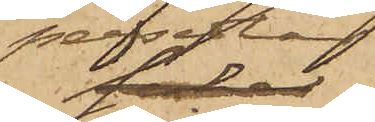persedlar
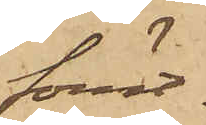förut¬
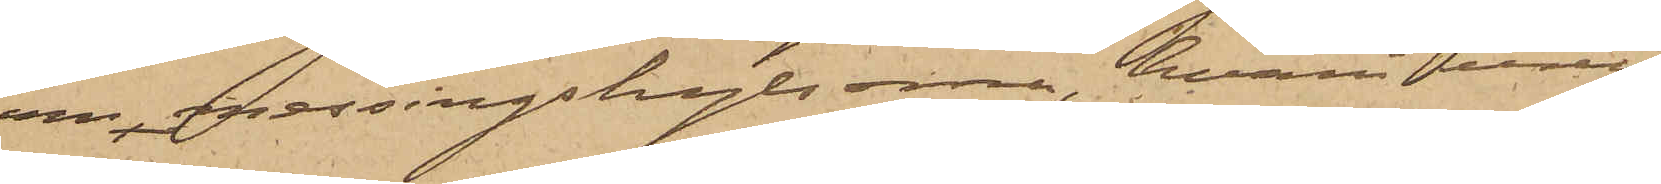om messingshylsorna, hvari uren
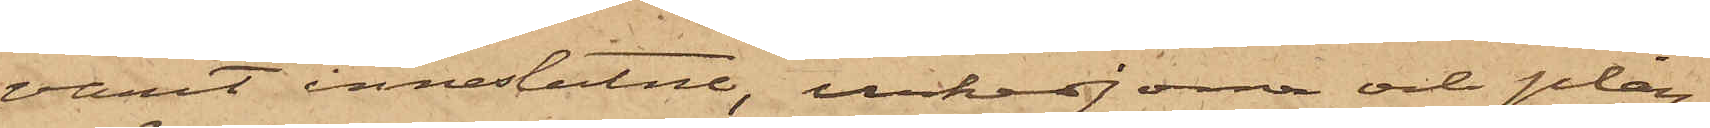varit inneslutne, urkedjorna och plån¬
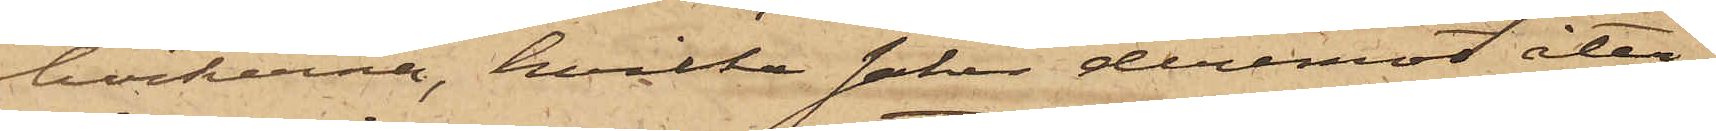böckerna, hvilka saker deremot åter¬
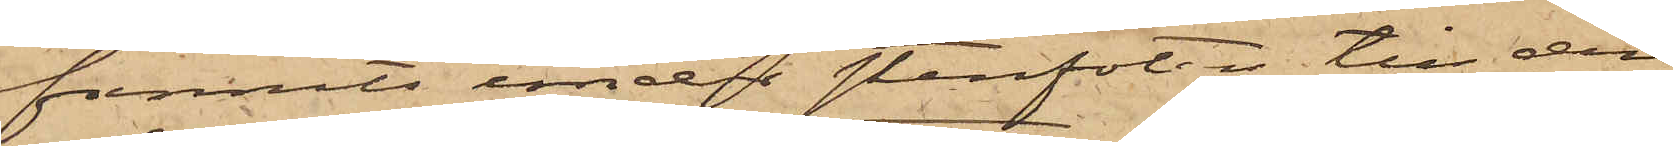funnits under stenfoten till den
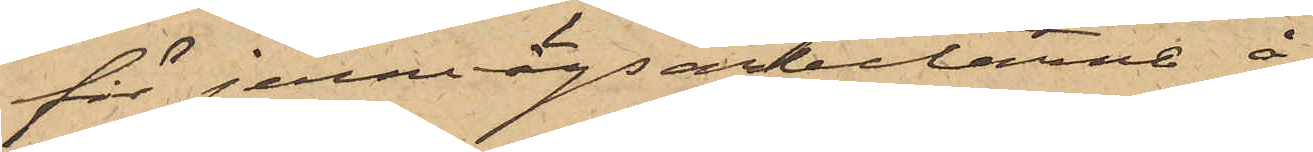för jernvägsarbetarne å
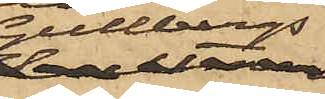Gullbergs
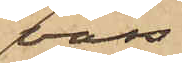vass
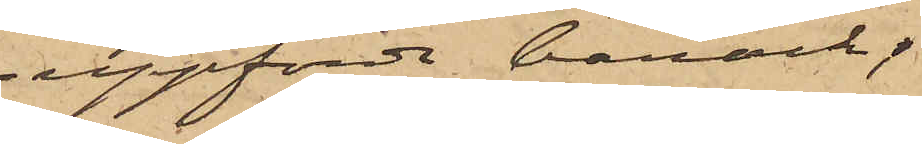uppförde barack.
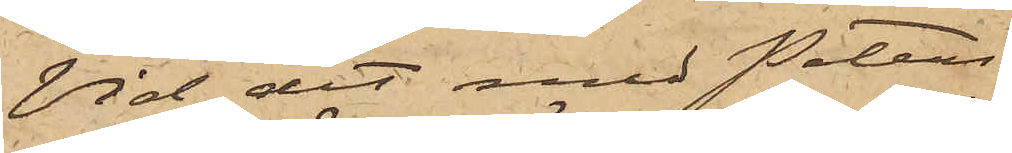Vid det med Peters¬
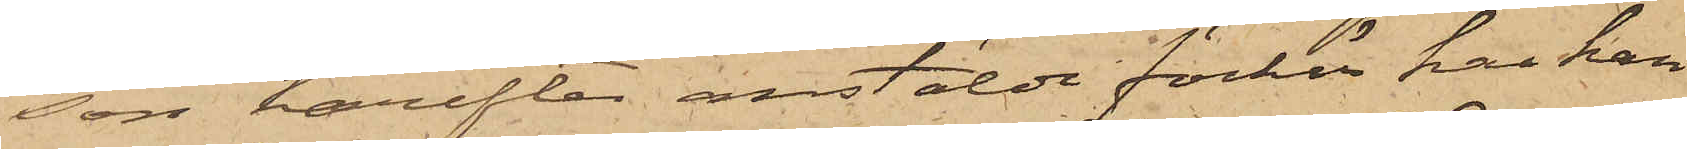son härefter anstälde förhör har han
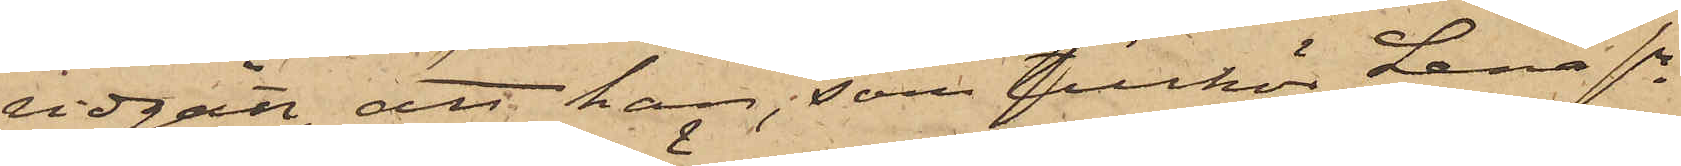vidgått, att han, som tillhör Lena sn
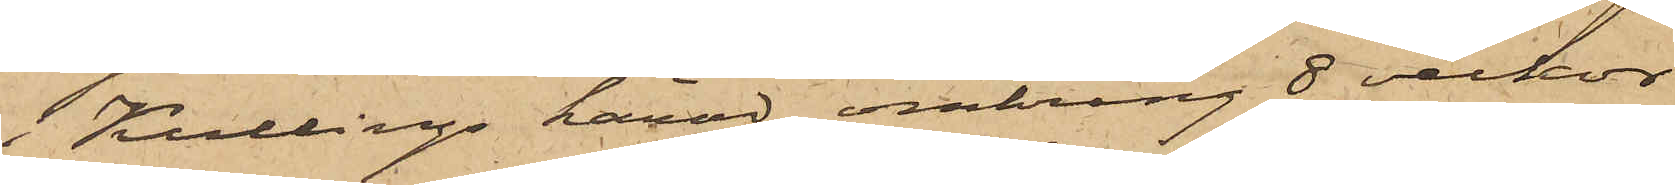i Kullings härad, omkring 8 veckor
